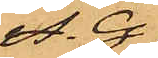A. G.
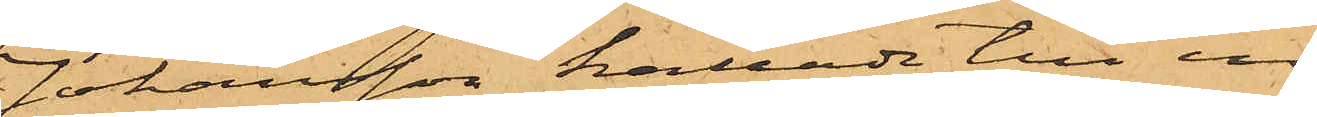Johansson kallade till in¬
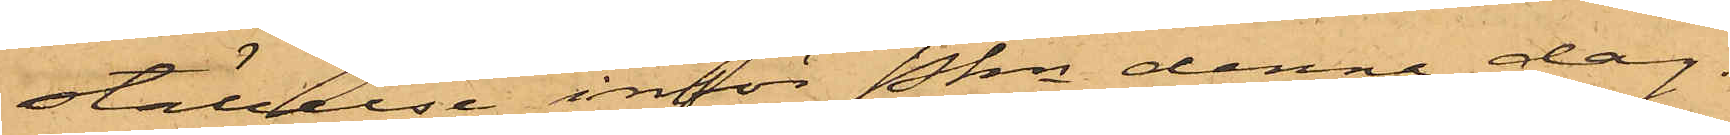ställelse inför Pkn denna dag.
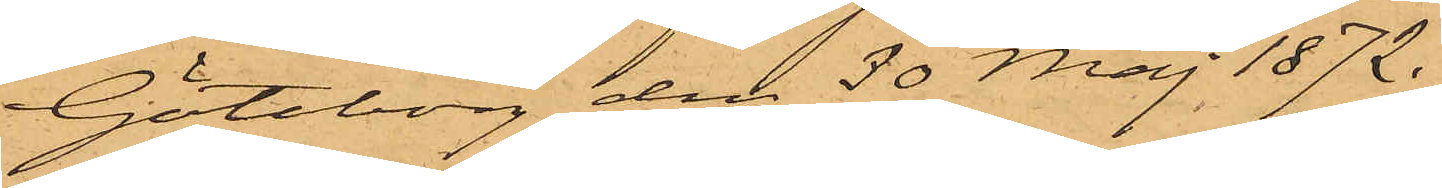Göteborg den 30 Maj 1872.
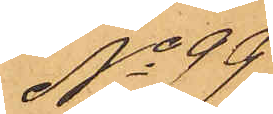No 99
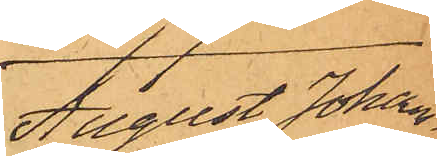August Johan¬
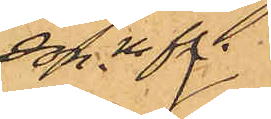son. m fl.
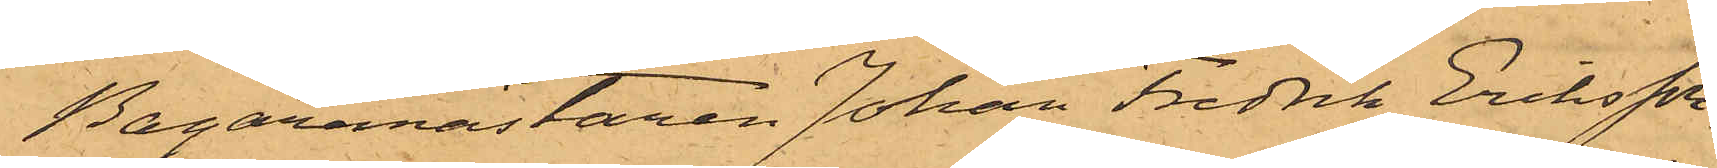Bagaremästaren Johan Fredrik Eriksson,
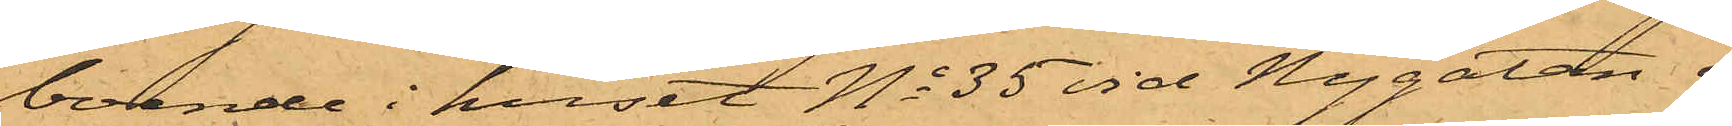boende i huset No 35 vid Nygatan i
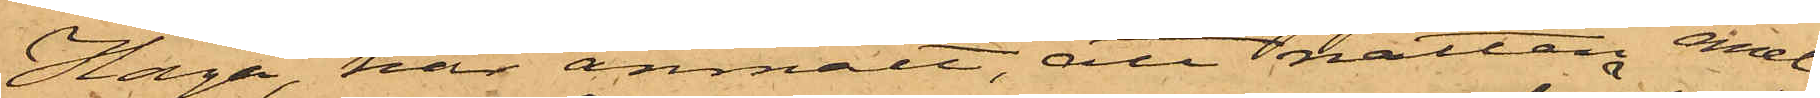Haga, har anmält, att natten emel-
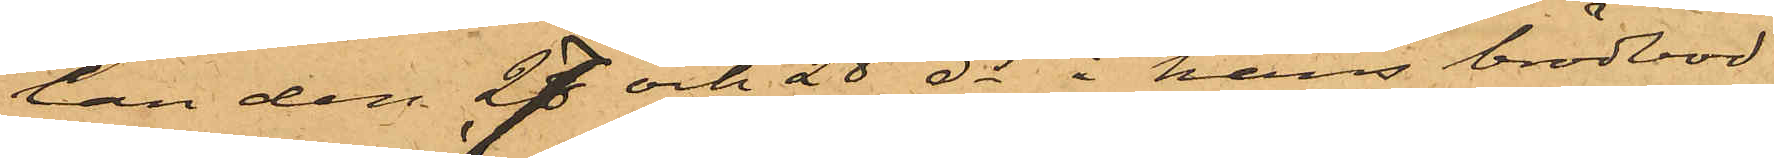lan den 27 och 28 ds i hans brödbod
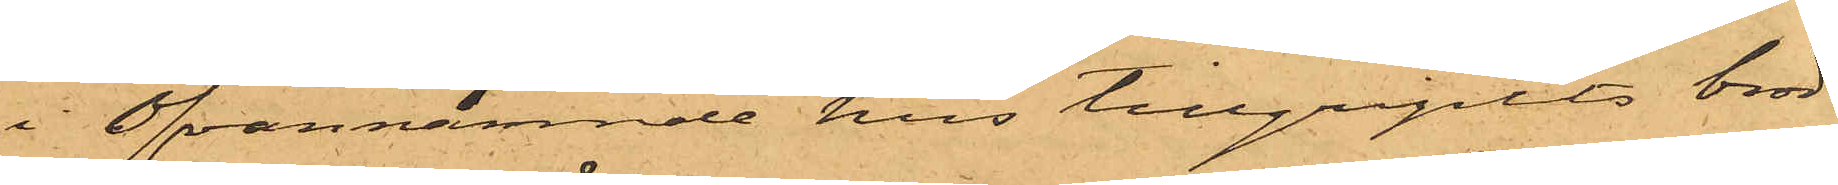i Ofvannämnde hus tillgripits bröd
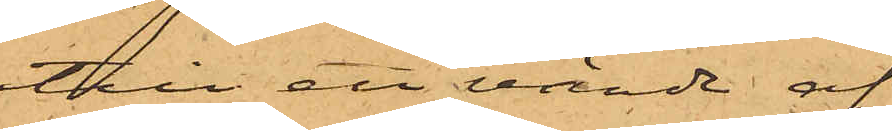till ett värde af
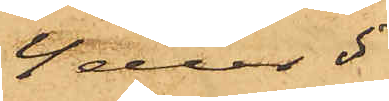4 eller 5
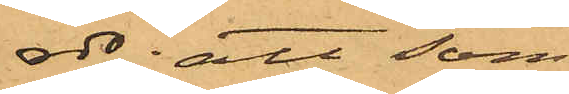rdr; att som
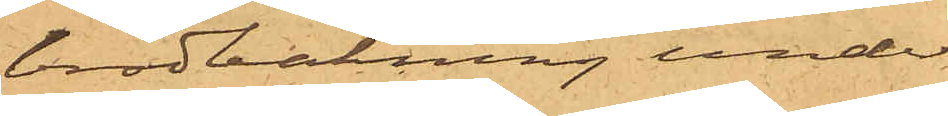brödbakning under
